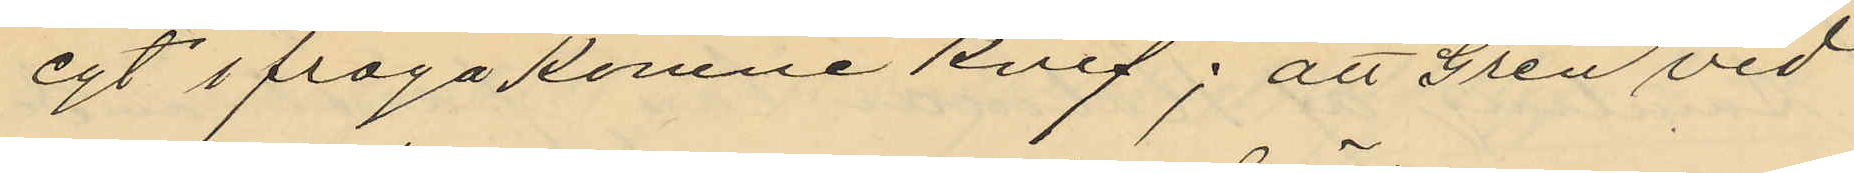egt ifrågakomne knif; att Gren vid
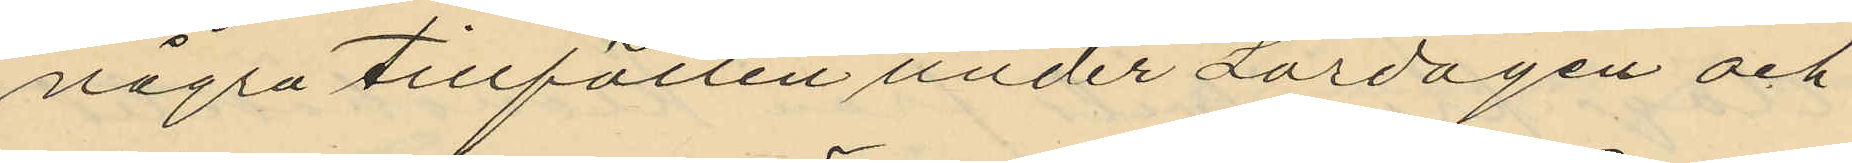några tillfällen under Lördagen och
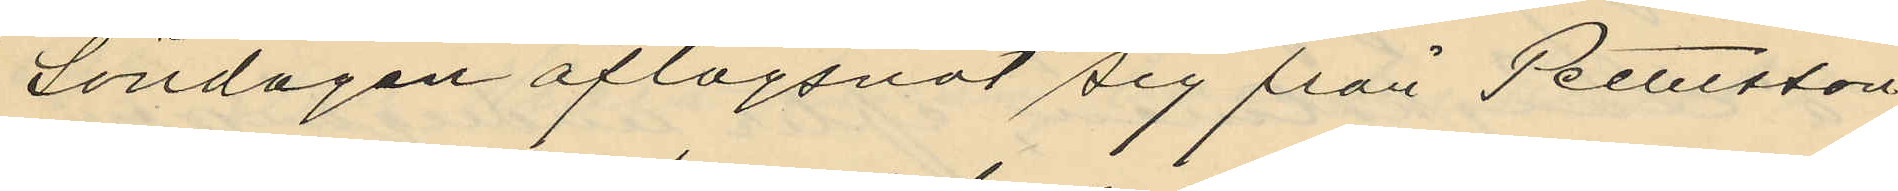Söndagen aflägsnat sig från Petersson
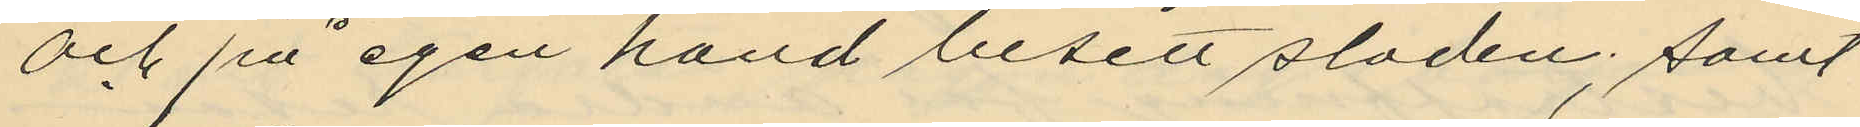och på egen hand besett staden; samt
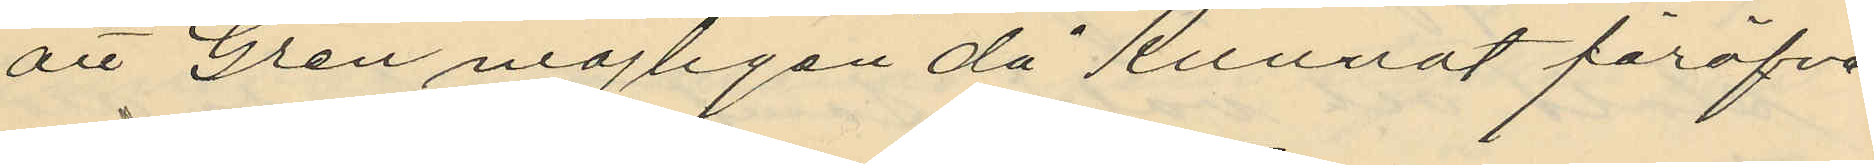att Gren möjligen då kunnat föröfva
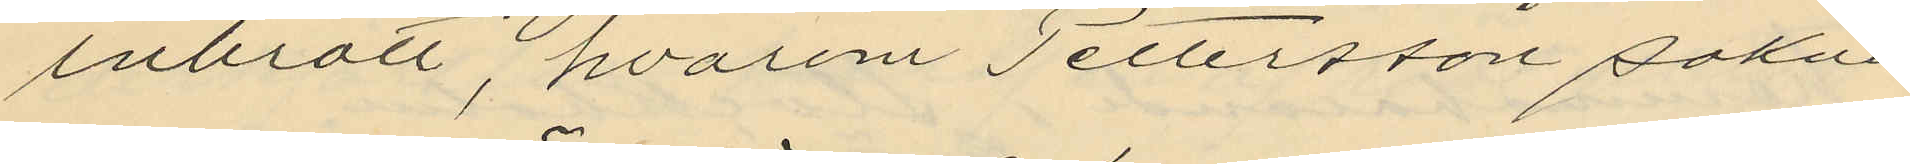inbrott, hvarom Pettersson sakna
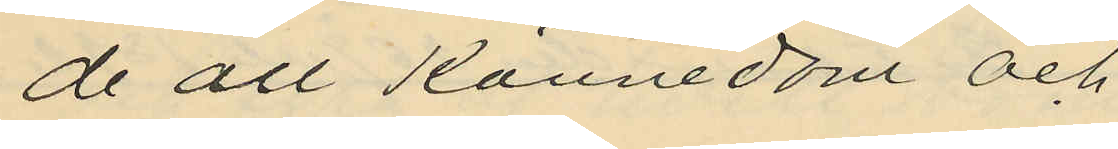de all kännedom och
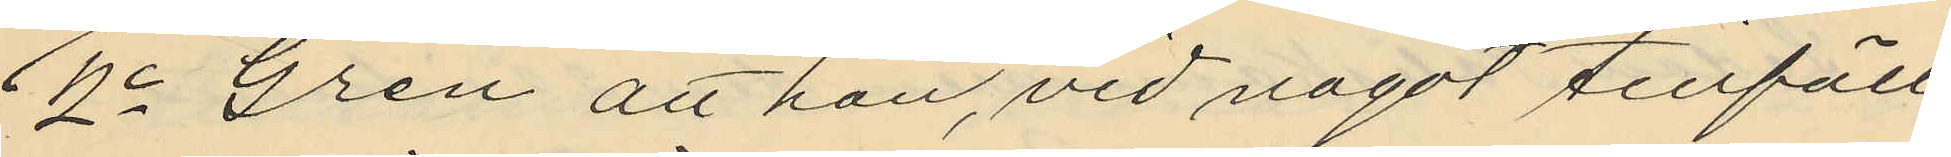2o Gren att han, vid något tillfälle
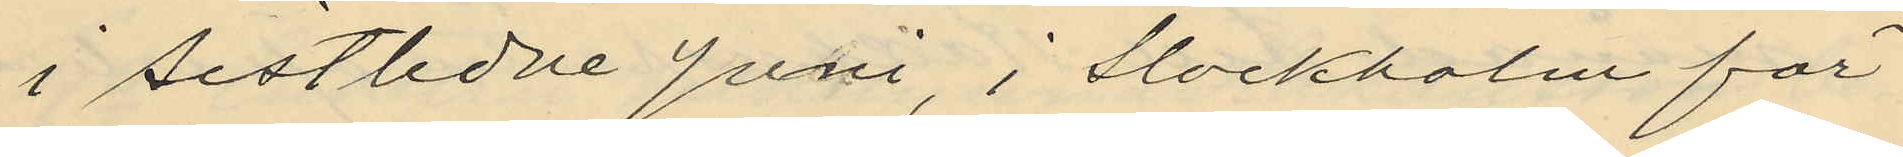i sistlidne Juni, i Stockholm för
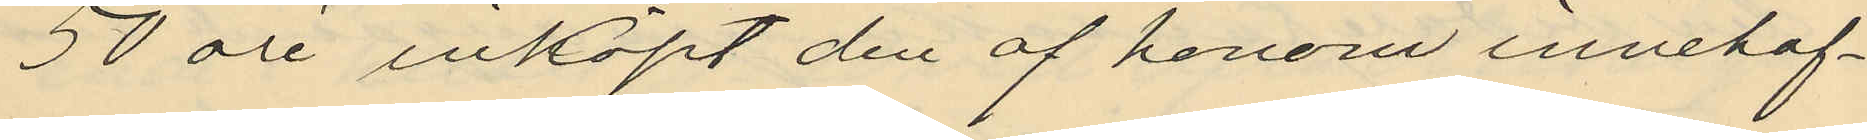50 öre inköpt den af honom innehaf¬
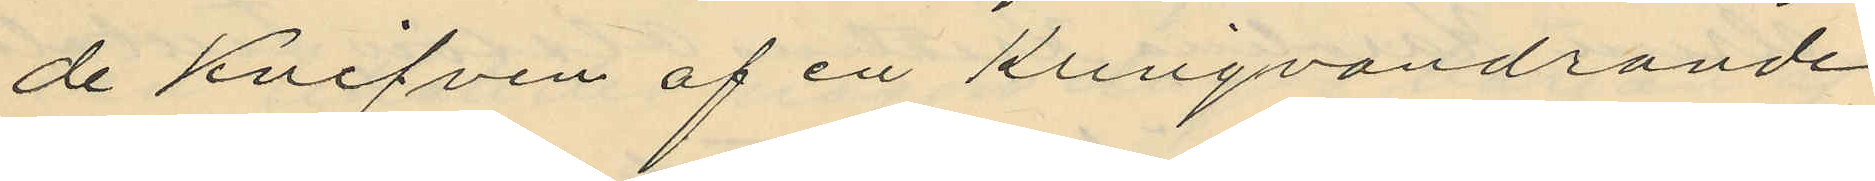de knifven af en kringvandrande
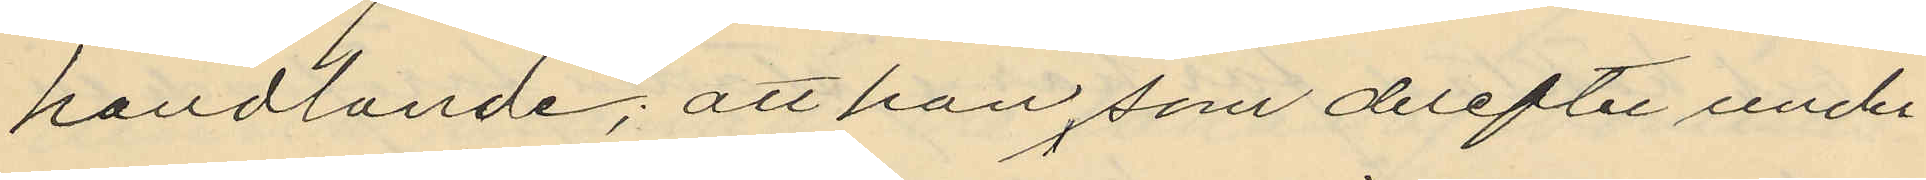handlande; att han som derefter under
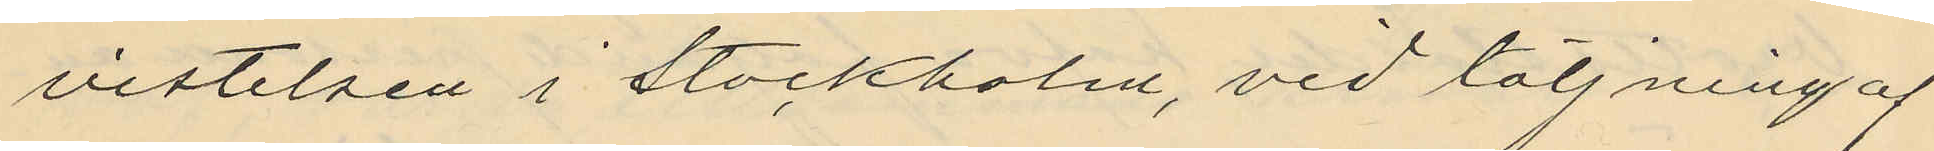vistelsen i Stockholm, vid täljning af
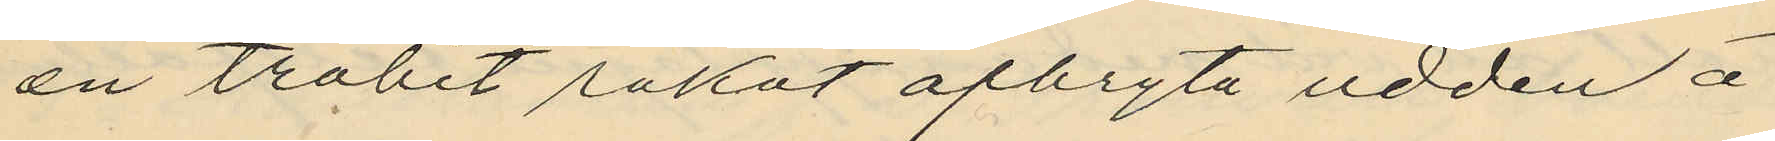en träbit råkat afbryta udden å
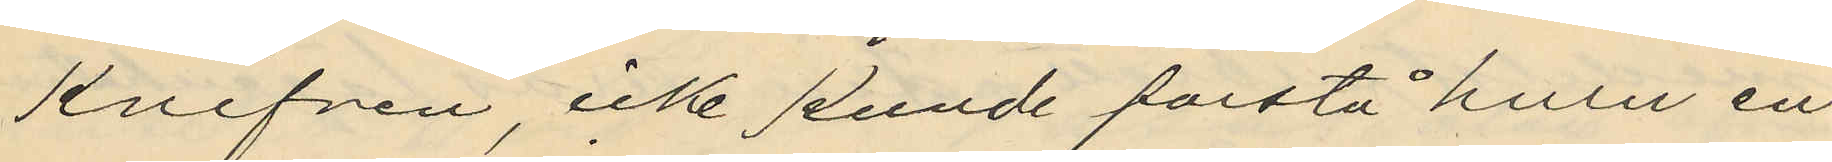knifven, icke kunde förstå huru en
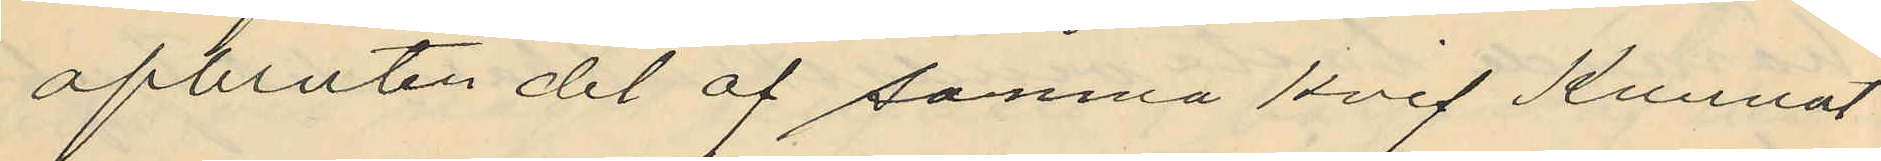afbruten del af samna knif kunnat
